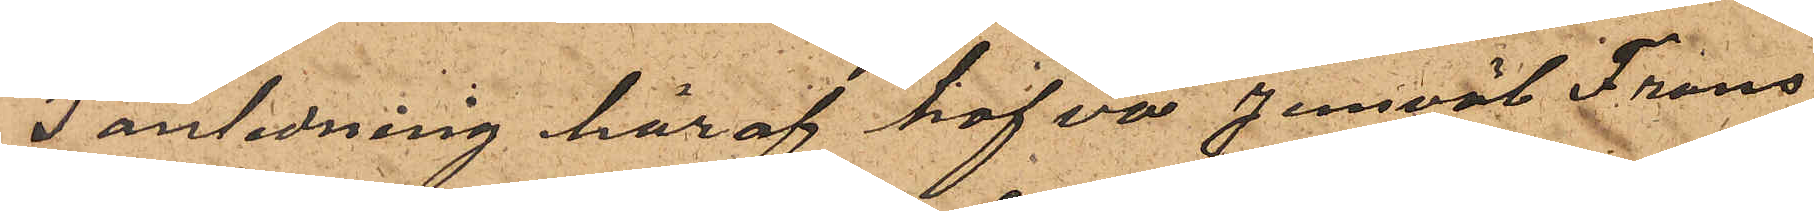I anledning häraf hafva jemväl Frans
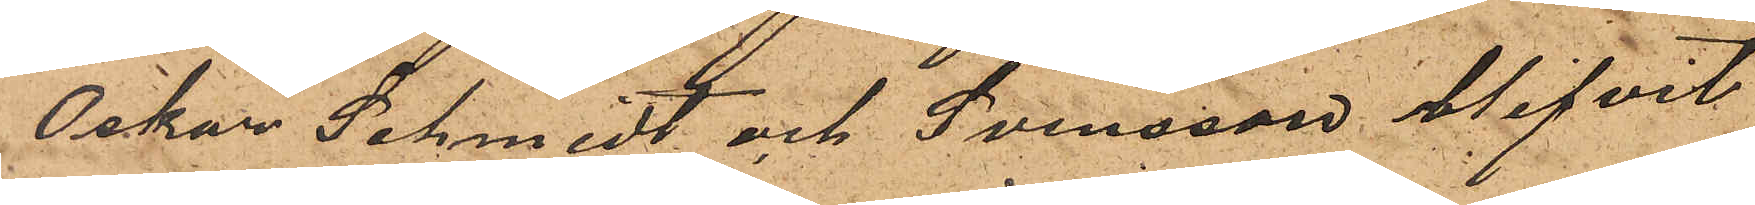Oskar Schmidt och Svensson blifvit
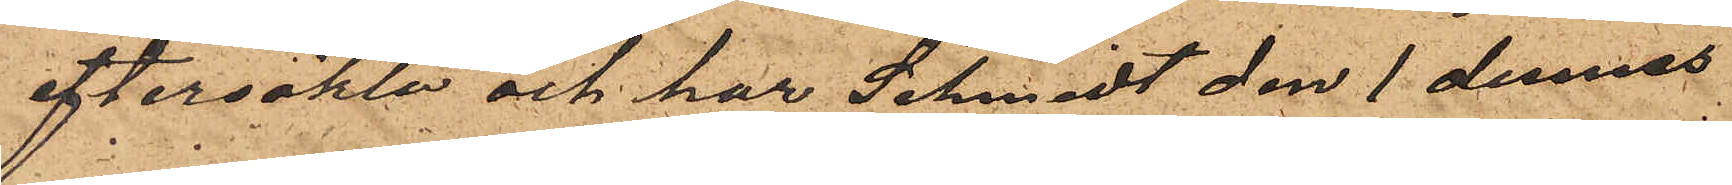eftersökte och har Schmidt den 1 dennes
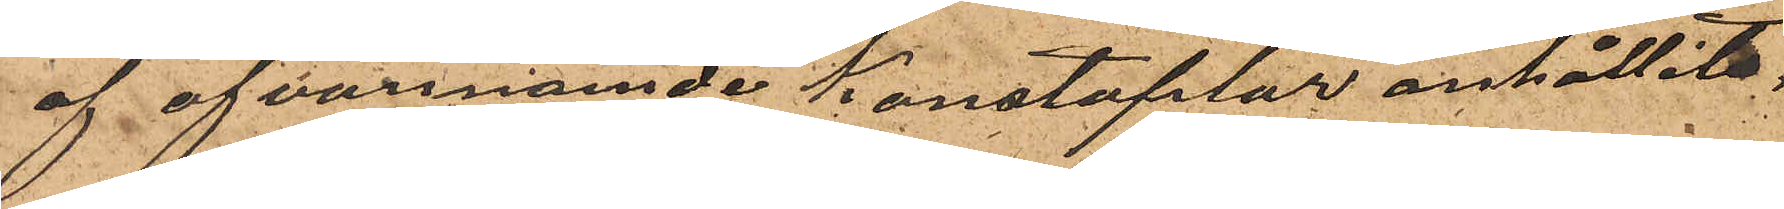af ofvannämnde Konstaplar anhållits,
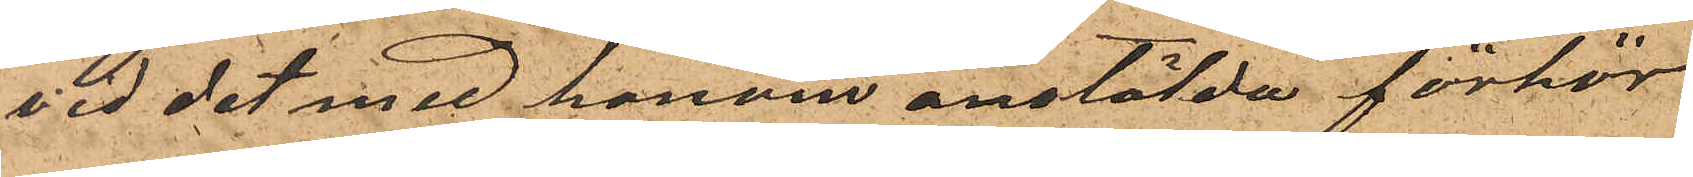vid det med honom anstälda förhör
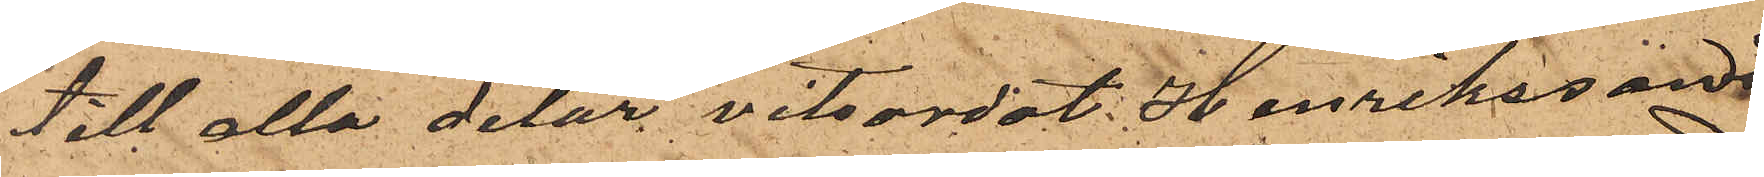till alla delar vitsordat Henrikssons
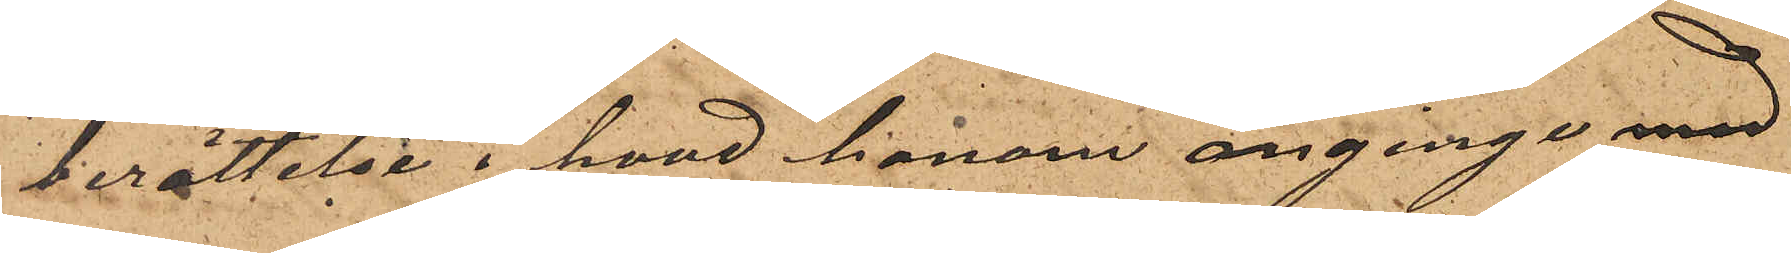berättelse i hvad honom anginge med
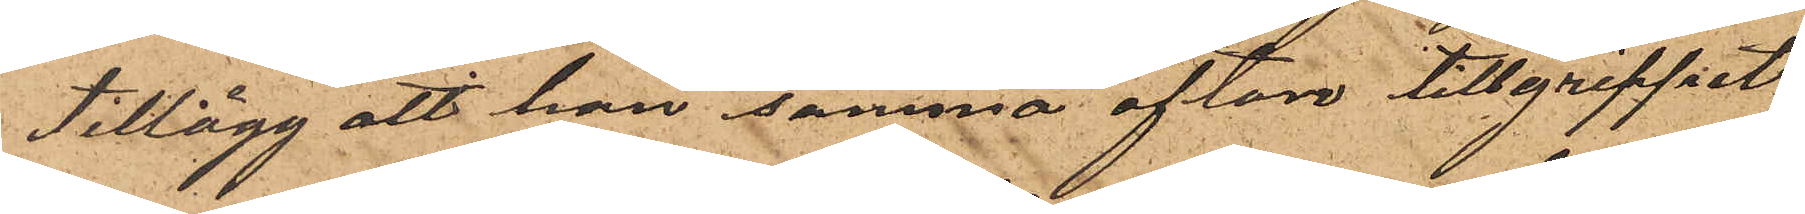tillägg att han samma afton tillgreppet
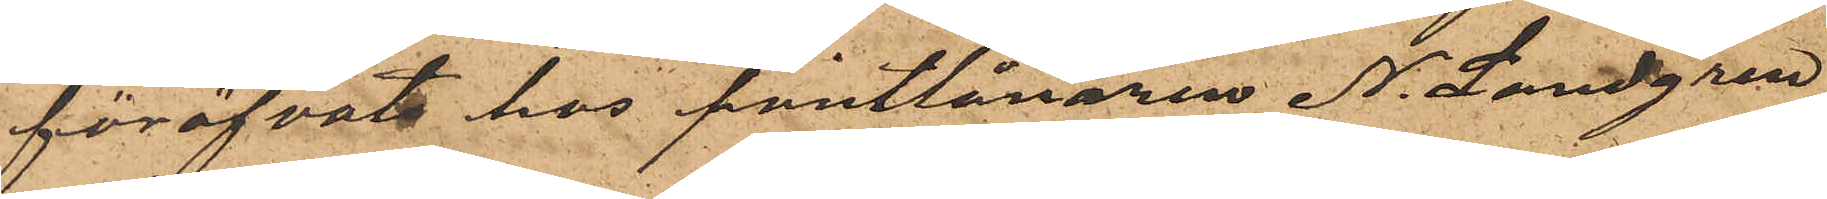föröfvats hos pantlånaren N. Landgren
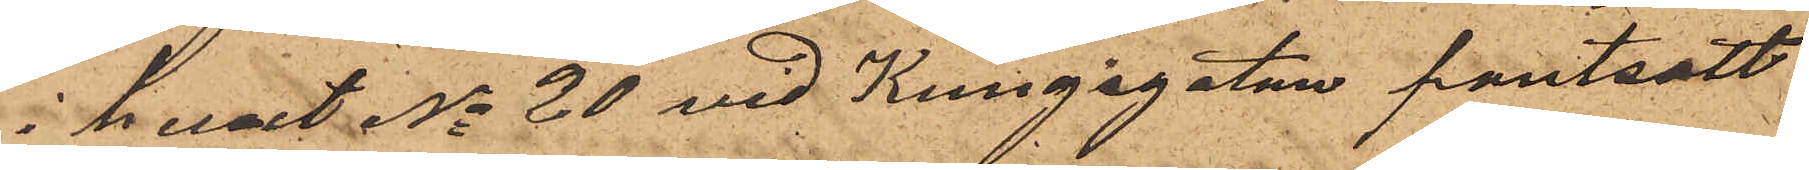i huset No 20 vid Kungsgatan pantsatt
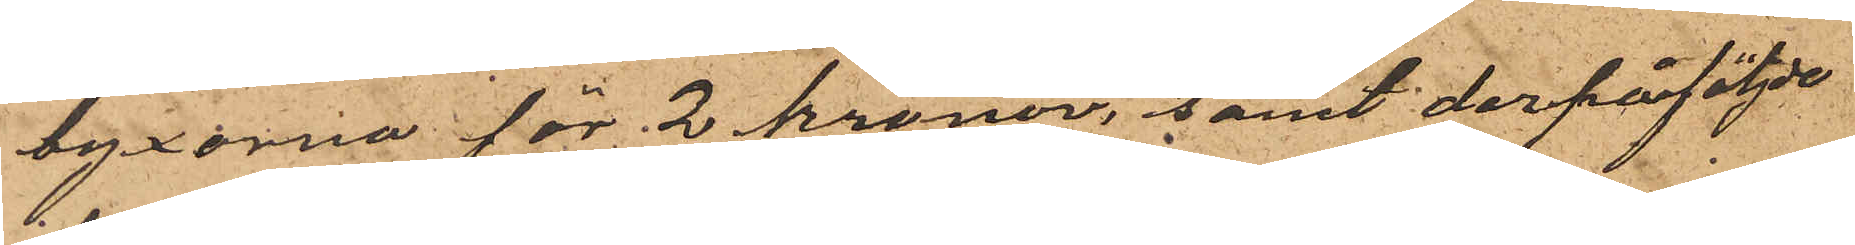byxorna för 2 kronor, samt derpåföljde
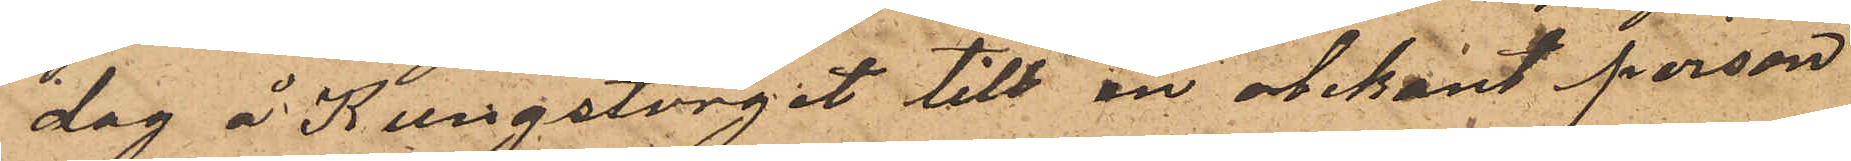dag å Kungstorget till en obekant person
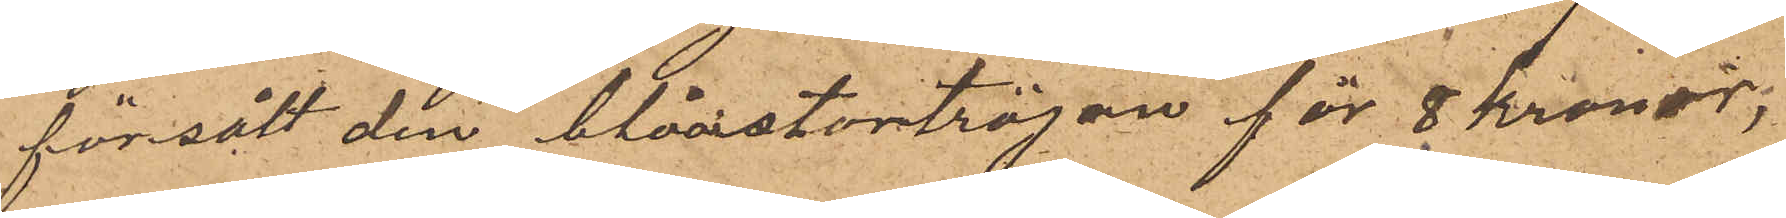försålt den blåastortröjan för 8 kronor;
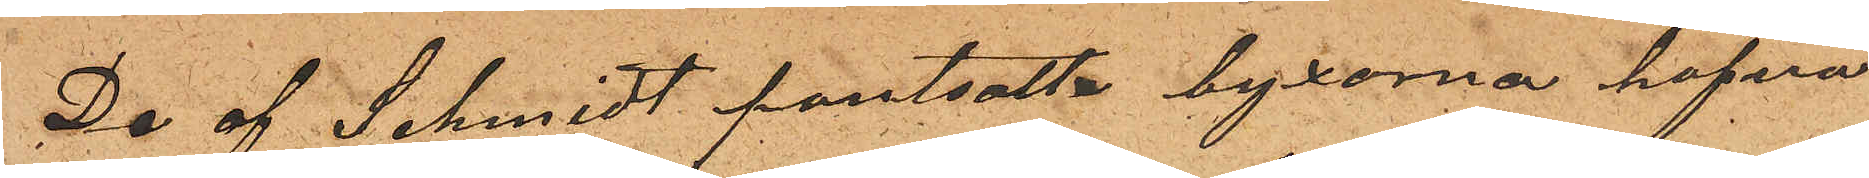De af Schmidt pantsatta byxorna hafva
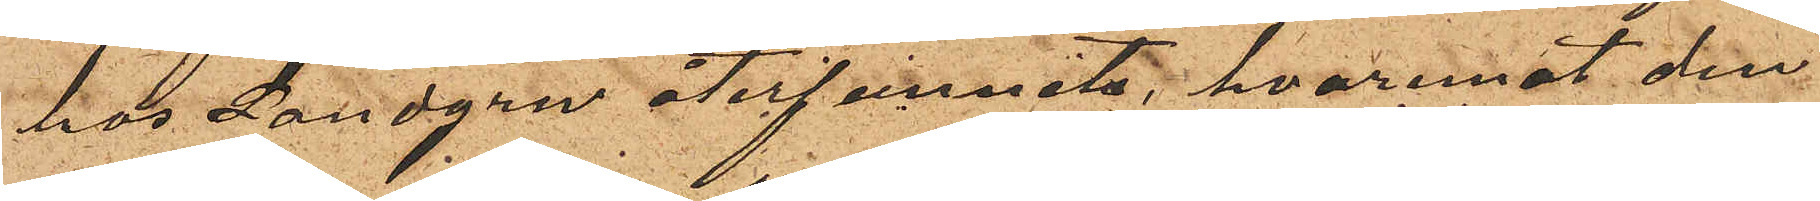hos Landgren återfunnits, hvaremot den
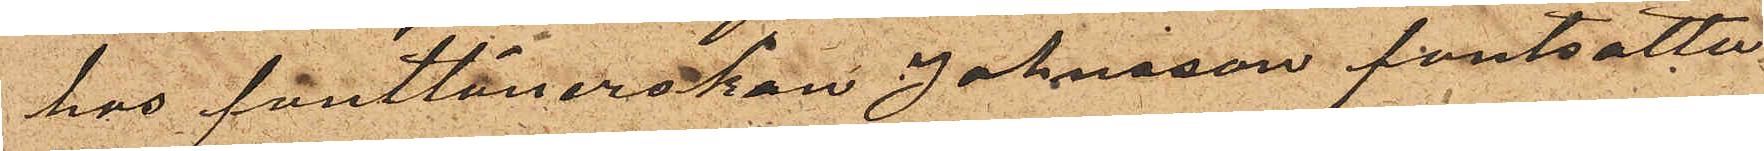hos Pantlånerskan Johnsson pantsatta
